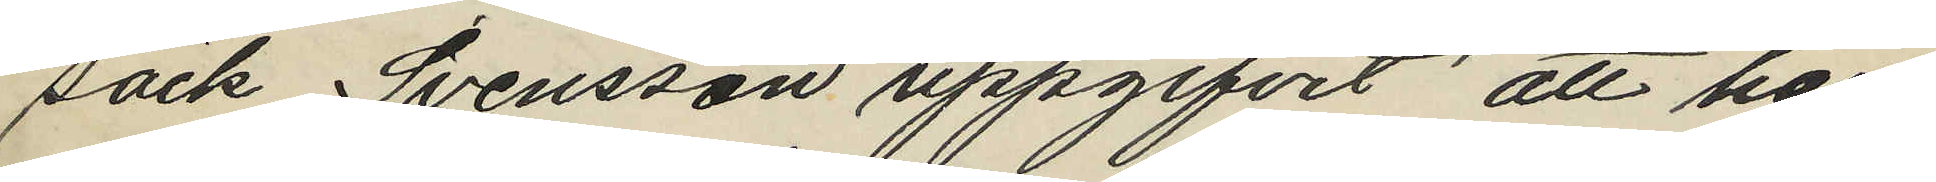säck Svensson uppgifvit att han
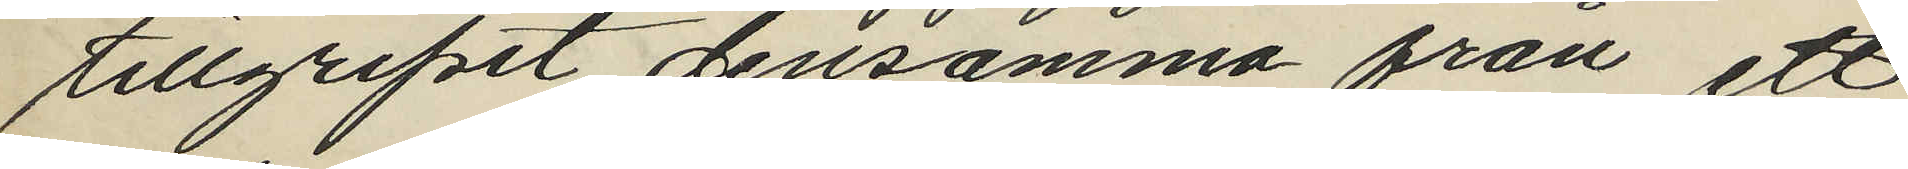tillgripit densamma från ett
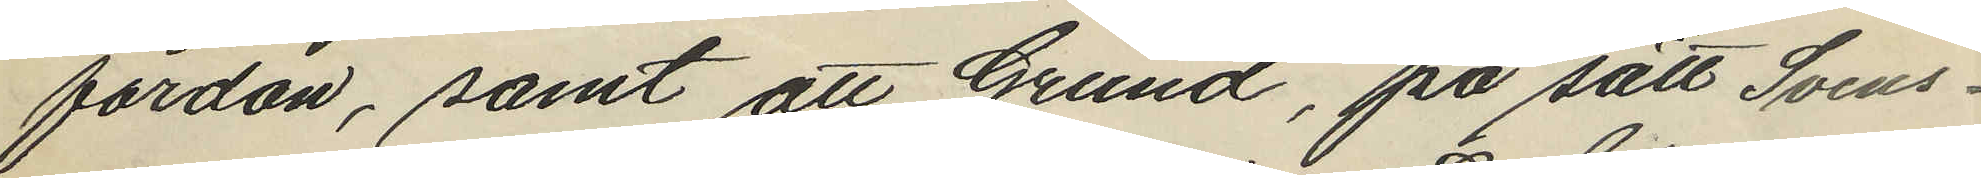fordon, samt att Grund, på sätt Svens¬
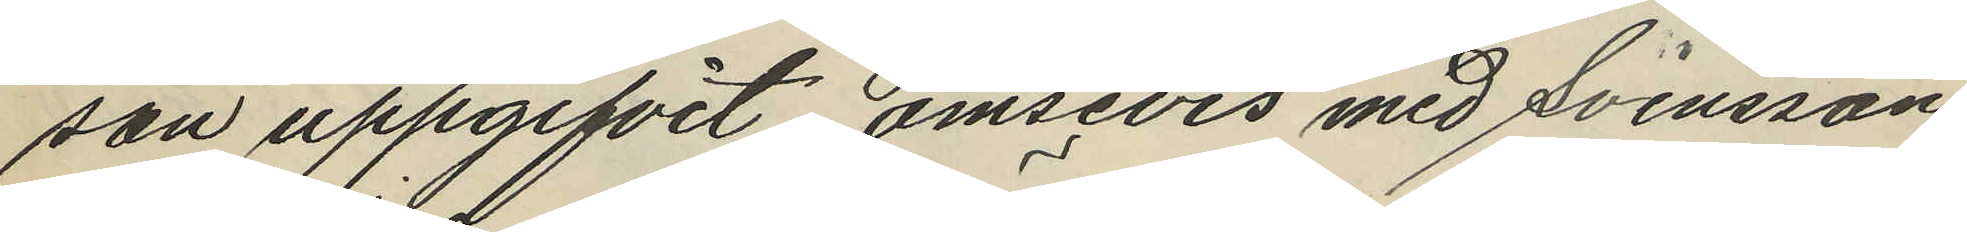son uppgifvit ömsevis med Svensson
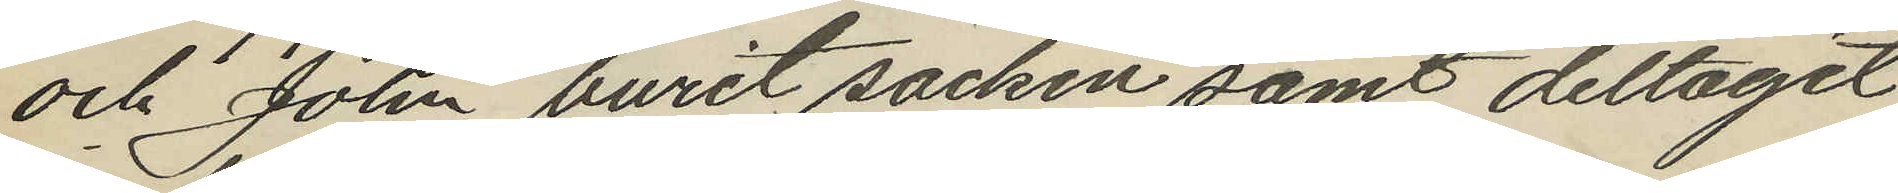och John burit säcken samt deltagit
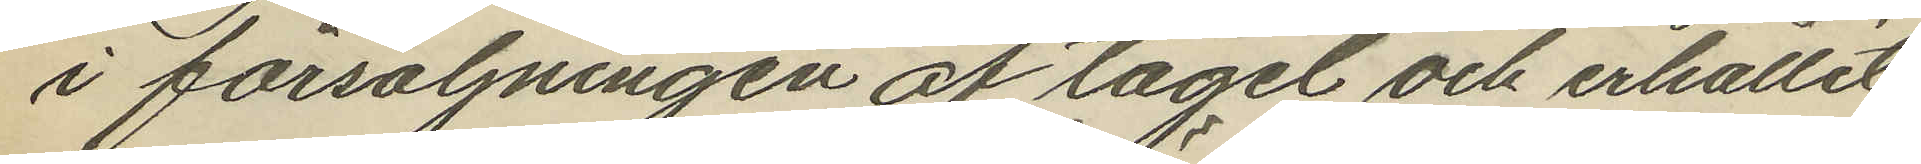i försäljningen af tagel och erhållit
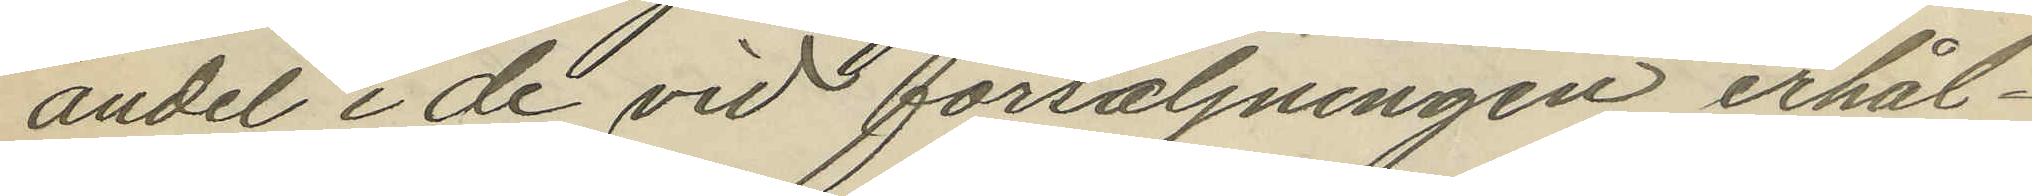andel i de vid försäljningen erhål¬
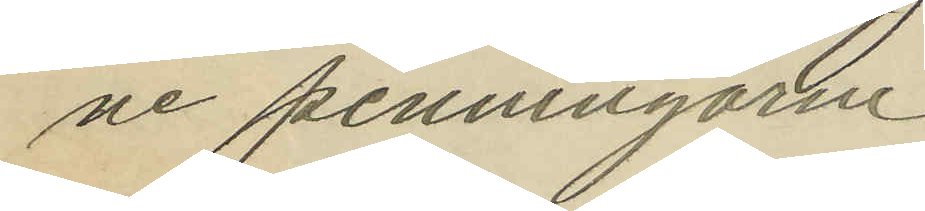ne penningarne.
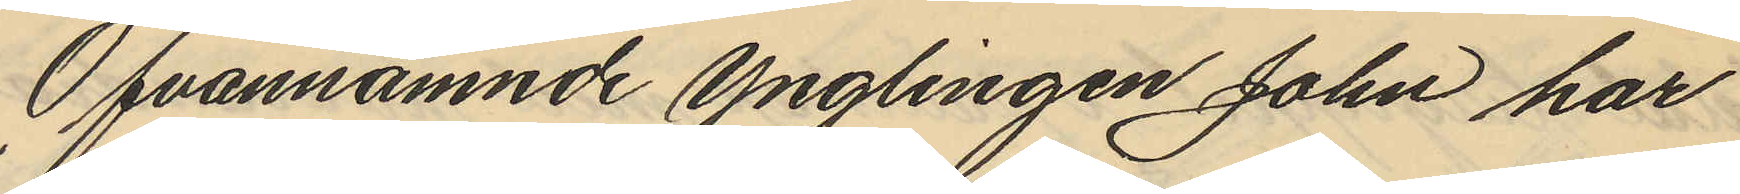Ofvannämnde ynglingen John har
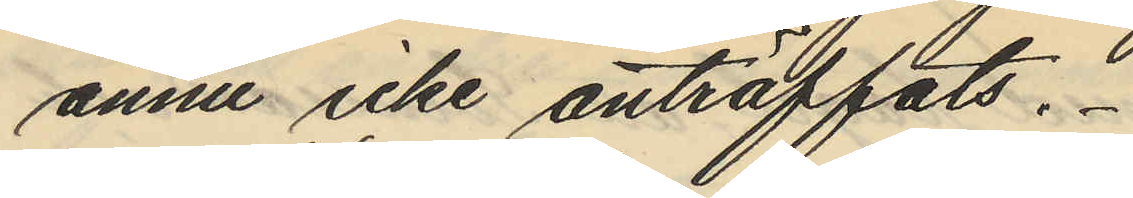ännu icke anträffats.
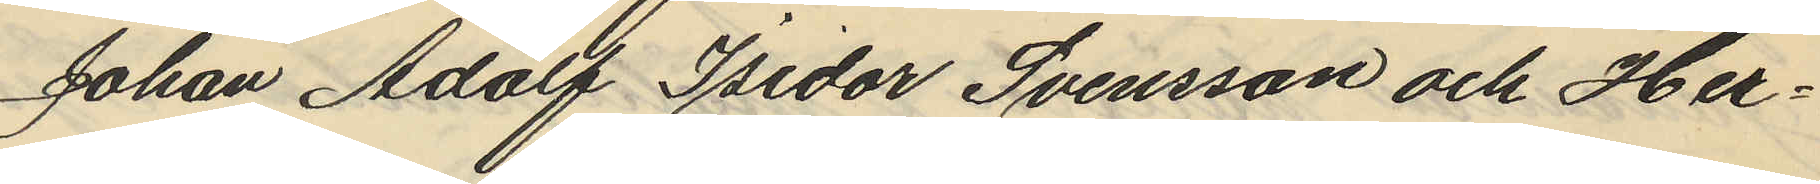Johan Adolf Isidor Svensson och Her¬
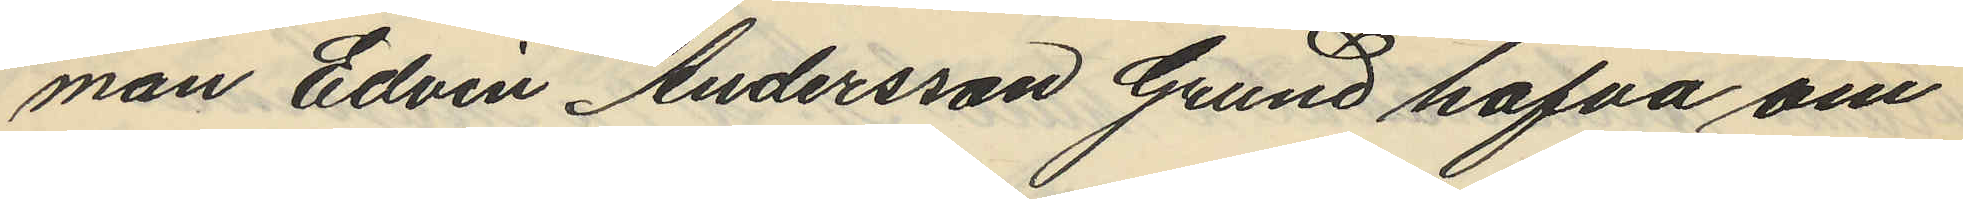man Edvin Andersson Grund hafva om
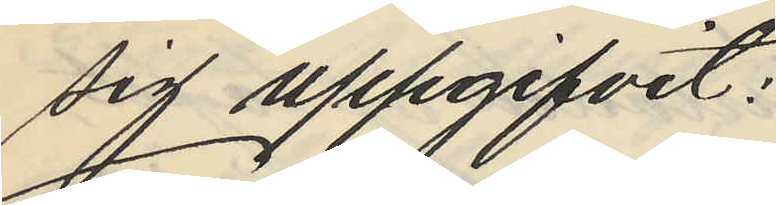sig uppgifvit:
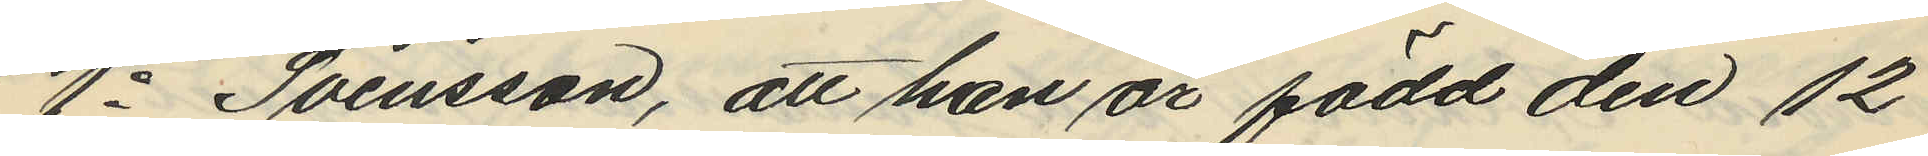1o Svensson, att han är född den 12
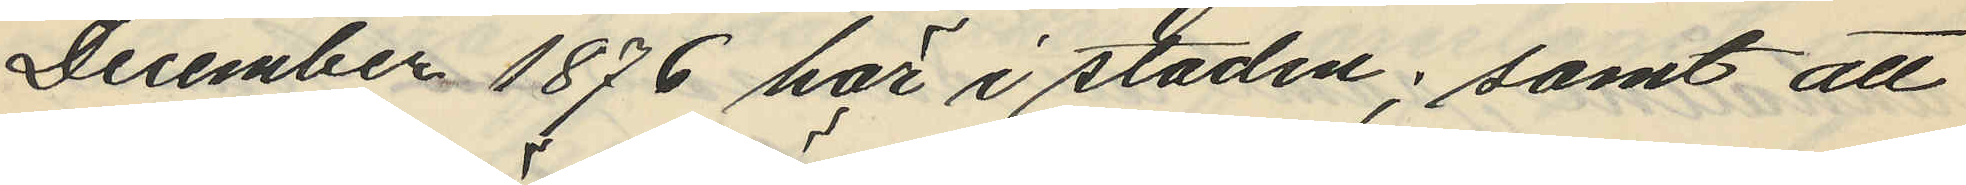December 1876 här i staden; samt att
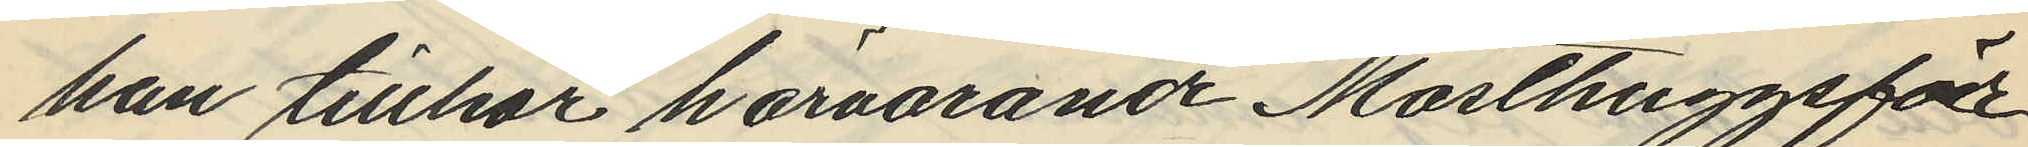han tillhör härvarande Masthuggsför¬
